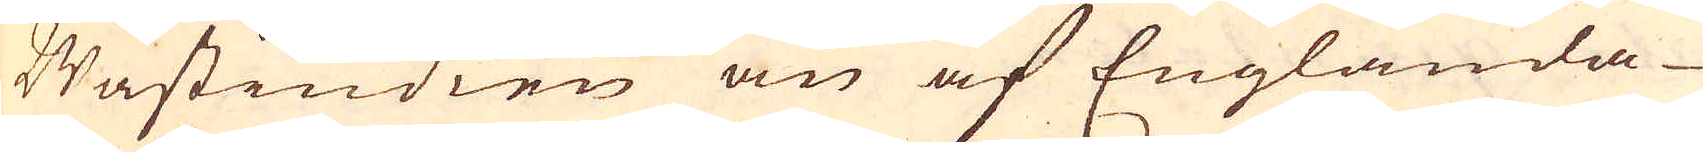Wästindien än af Englända-
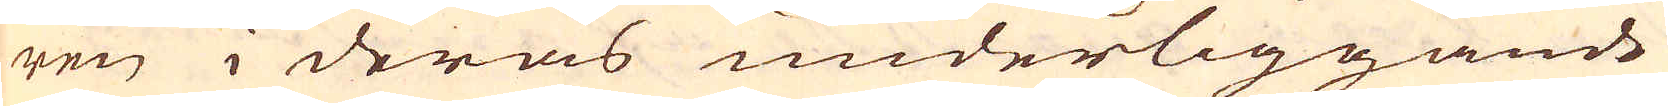ren i deras underliggande
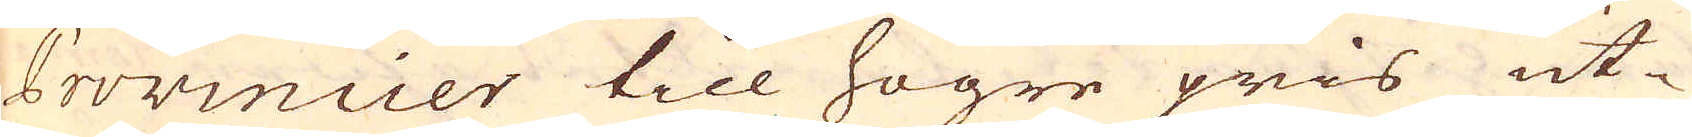Provincier till högre pris ut-
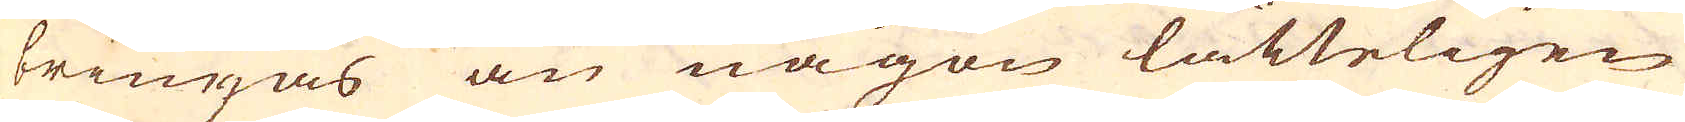bringas än någon lätteligen
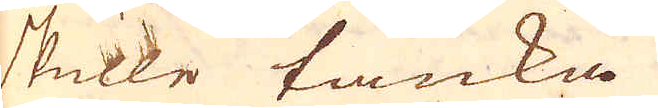skulle tänka.
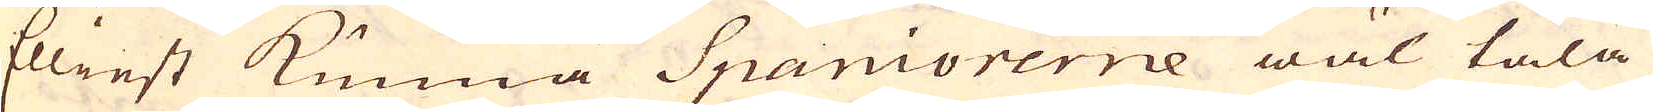Elliest kunna Spaniorernne wäl tåla
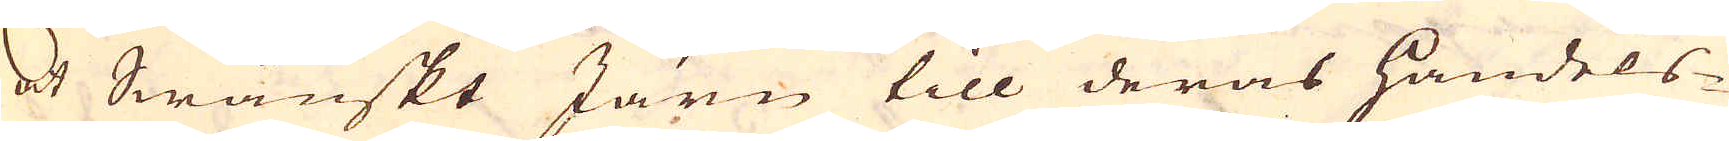at Swänskt Järn till deras handels-
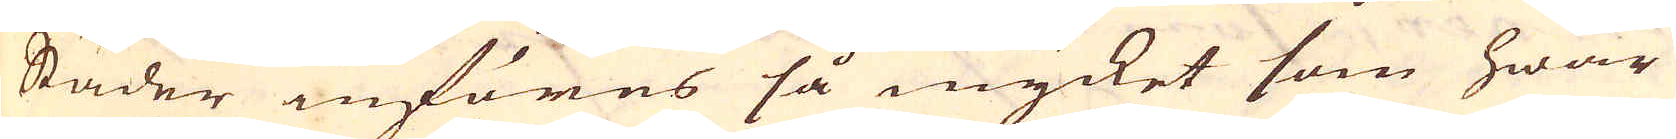Städer införes så mycket som hwar
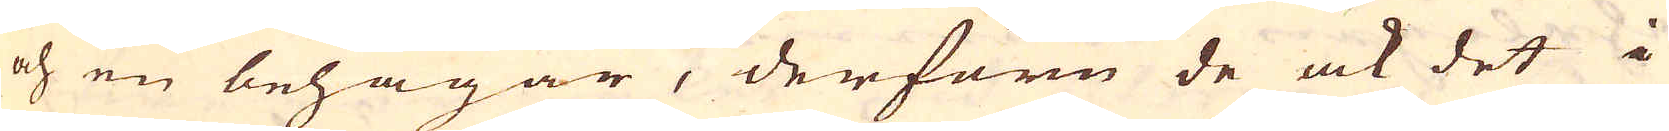och en behagar, derföre de ock det i
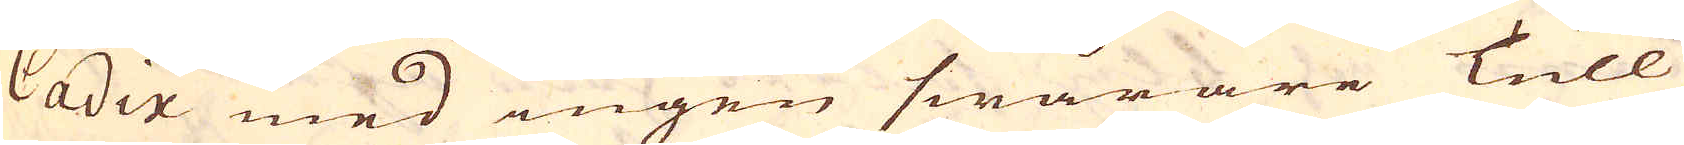Cadix med ingen swårare tull
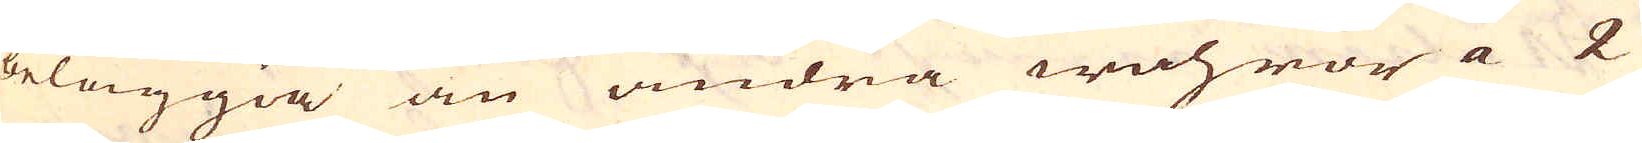beläggia än andra wohror a 2
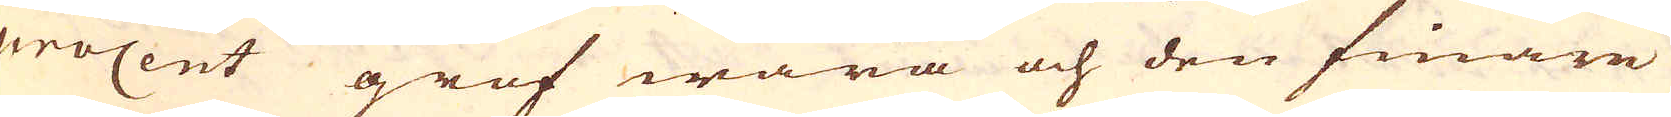procent grof wara och den finare
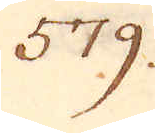579.
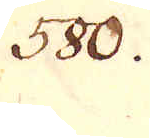580.
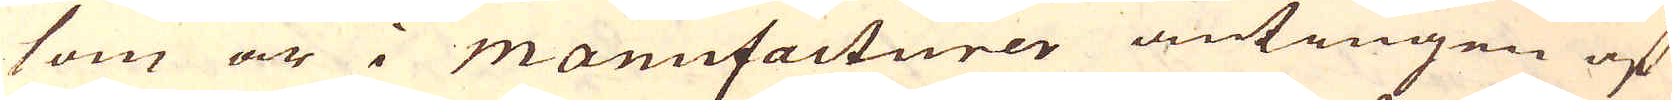som är i Manufacturer antingen af
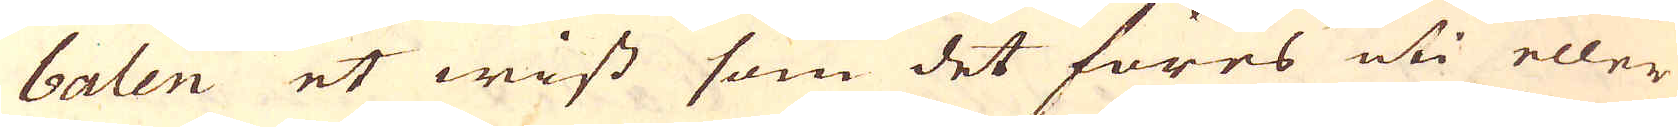balen et wist som det föres uti eller
